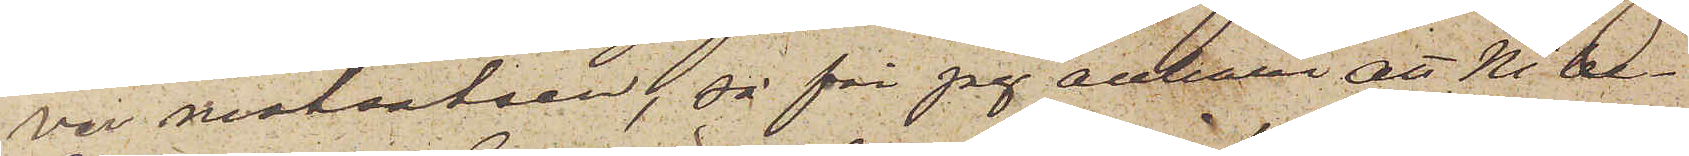ver motsatsen, så får jag anhålla att Ni be¬
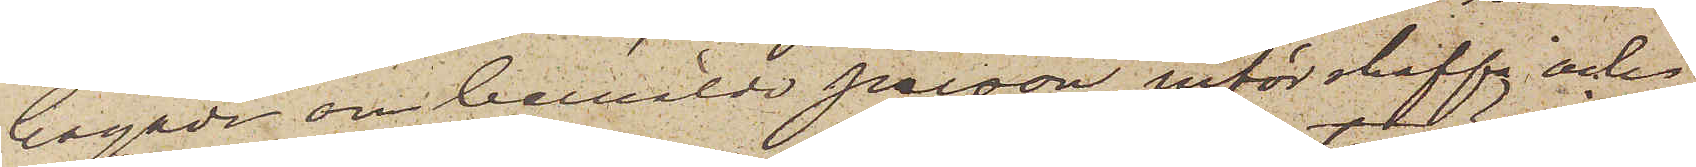hagade om bemälde person införskaffa och
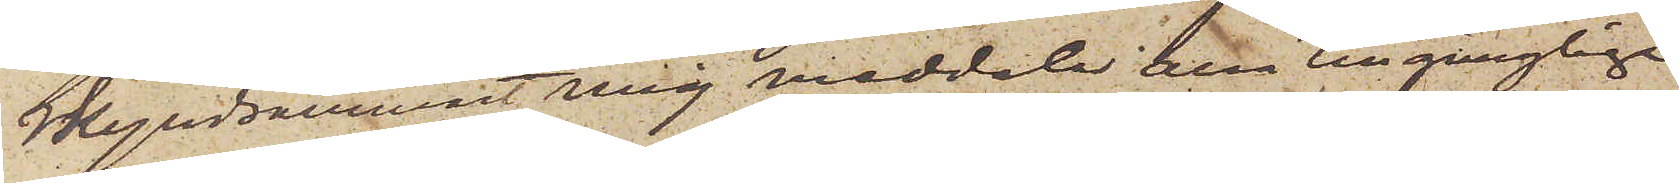skyndsammast mig meddela alla tillgängliga
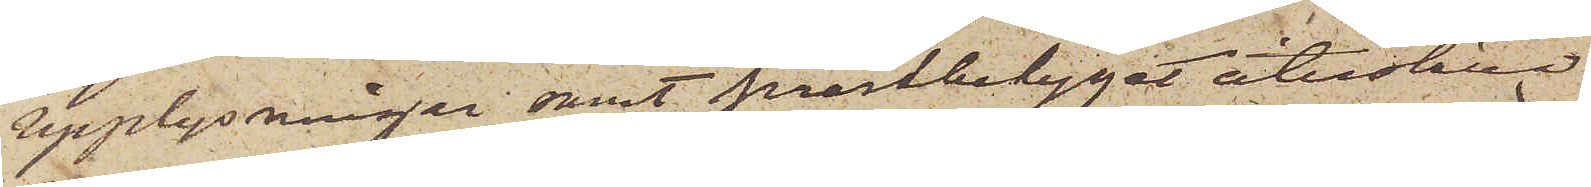upplysningar samt prestbetyget återställa
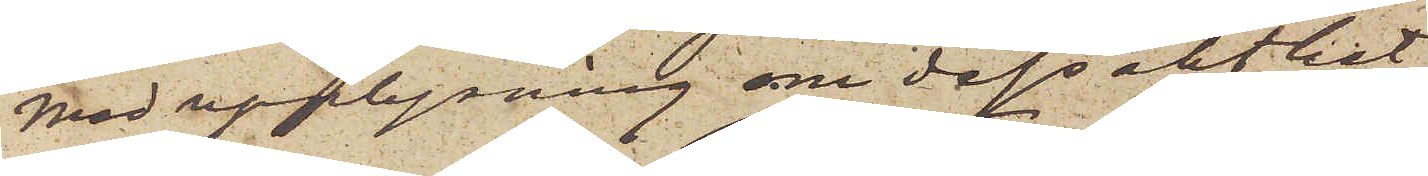med upplysning om dess äkthet.
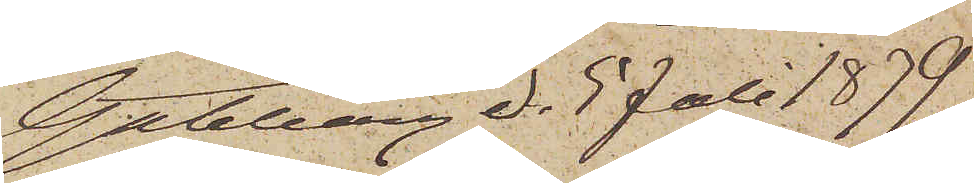Göteborg d. 5 Juli 1879.
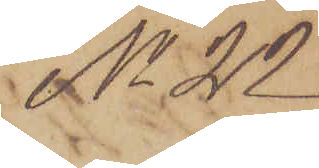No 22
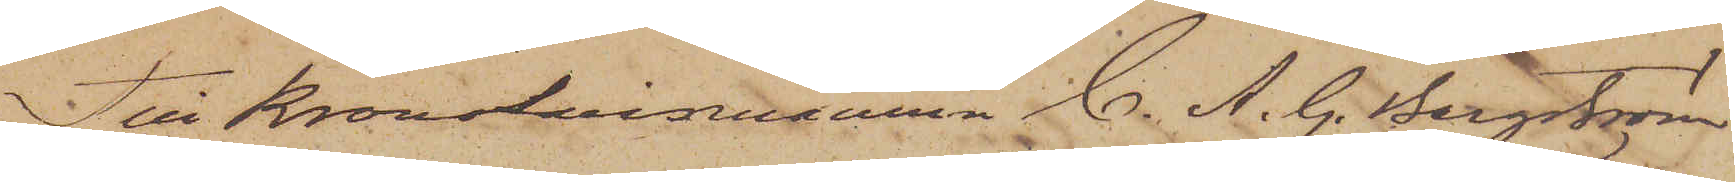Till Kronolänsmannen C. A. G. Bergström
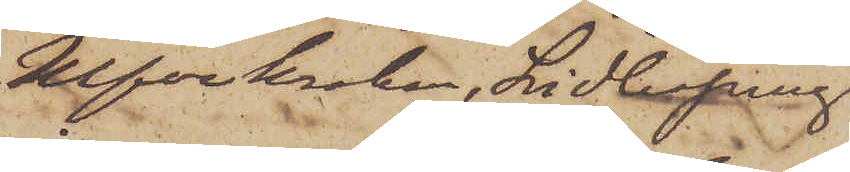Ulfvekroken, Lidköping
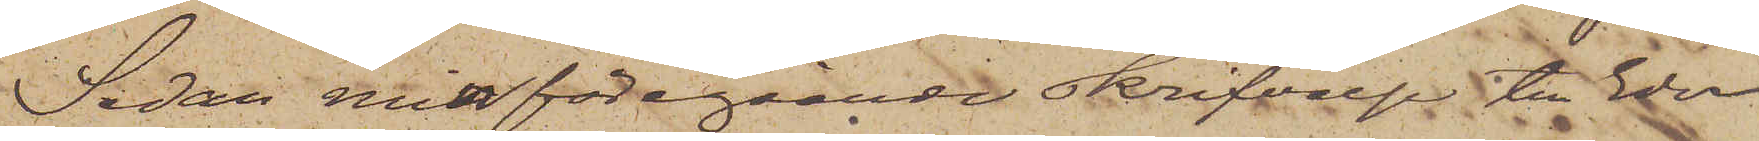Sedan min föregående skrifvelse till Eder
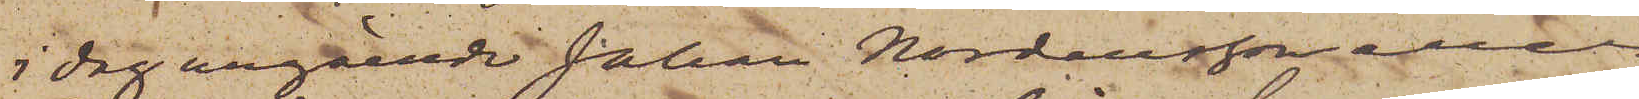i dag angående Johan Nordensson eller
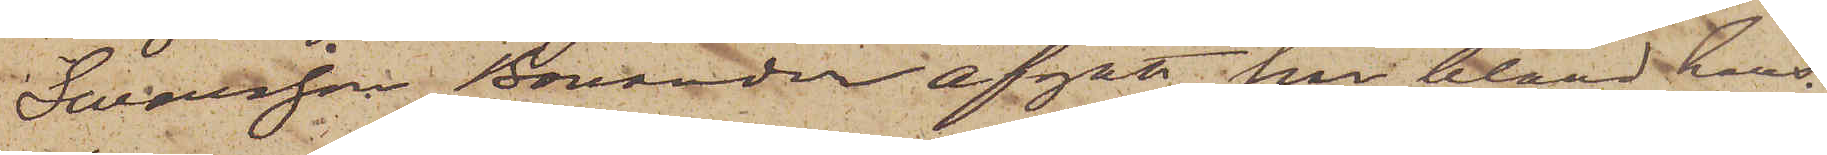Swensson Bonander afgått har bland hans
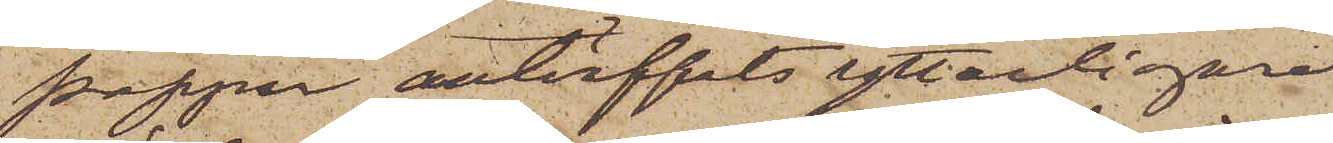papper anträffats ytterligare
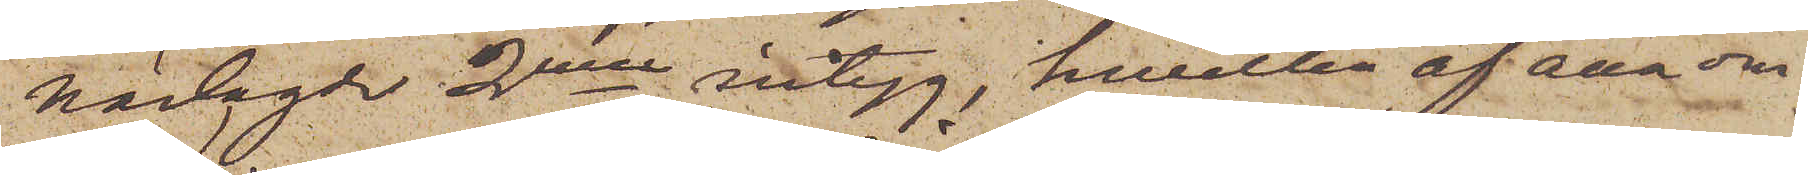närlagde 2nne intyg, hwilka af alla om¬
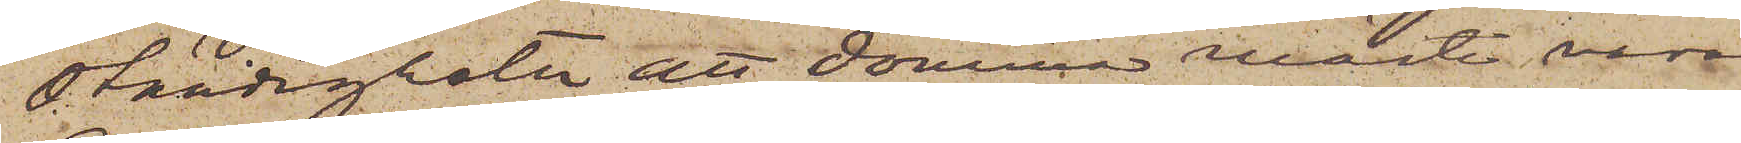ständigheter att dömma måste vara
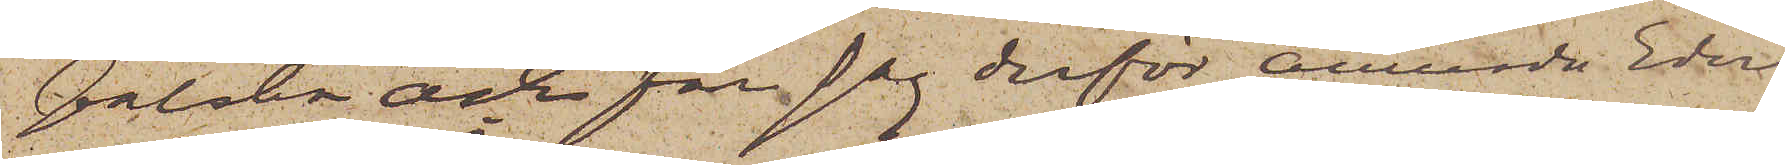falska och får jag derför anmoda Eder
